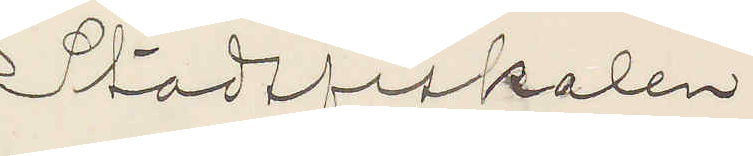Stadsfiskalen
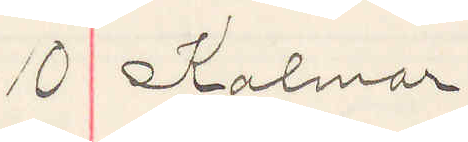10 Kalmar
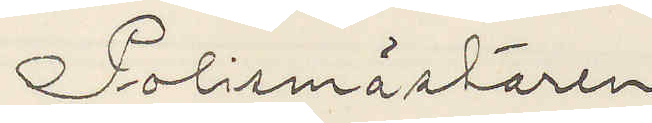Polismästaren
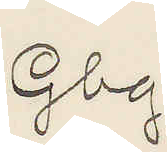Gbg.
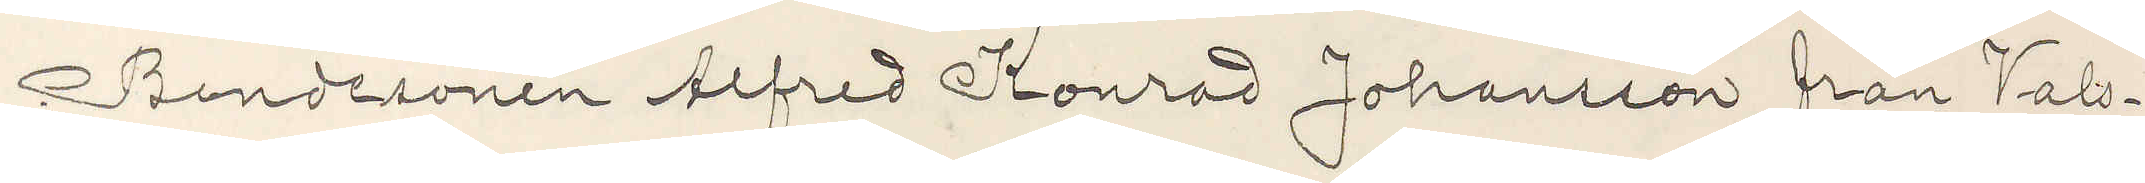Bondesonen Alfred Konrad Johansson från Vals¬
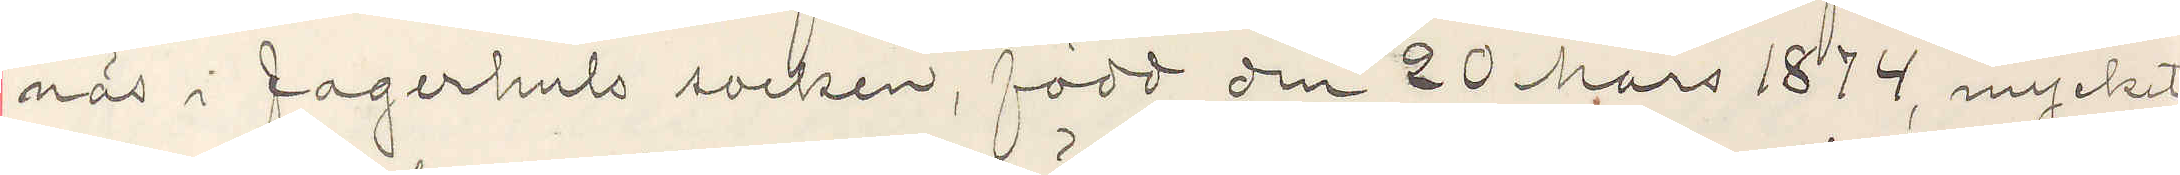näs i fagerhuls socken, född den 20 Mars 1874, mycket
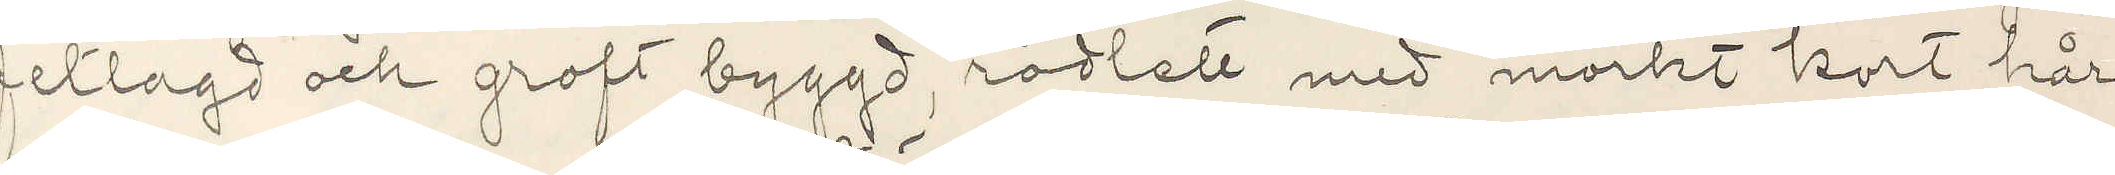fetlagd och groft byggd, rödlett med mörkt kort hår
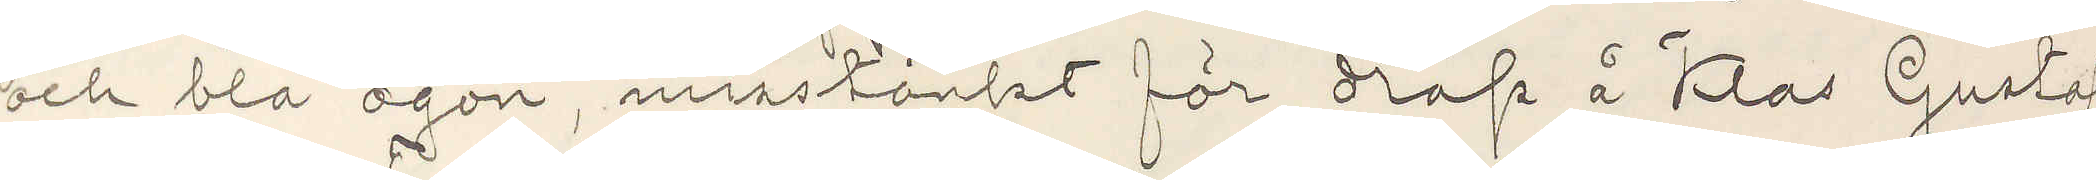och blå ögon, misstänkt för dråp å Klas Gustaf
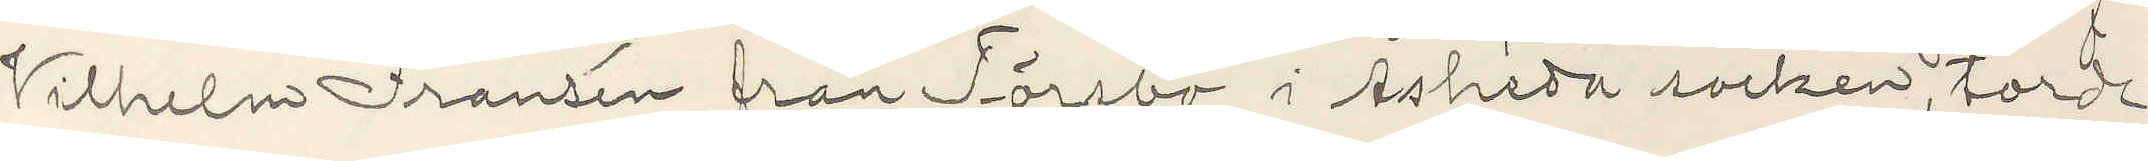Vilhelm Fransén från Törsbo i Åsheda socken, torde
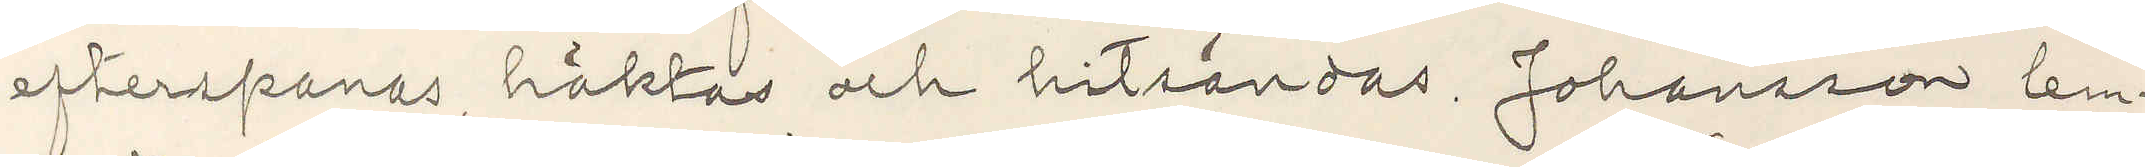efterspanas, häktas och hitsändas. Johansson lem¬
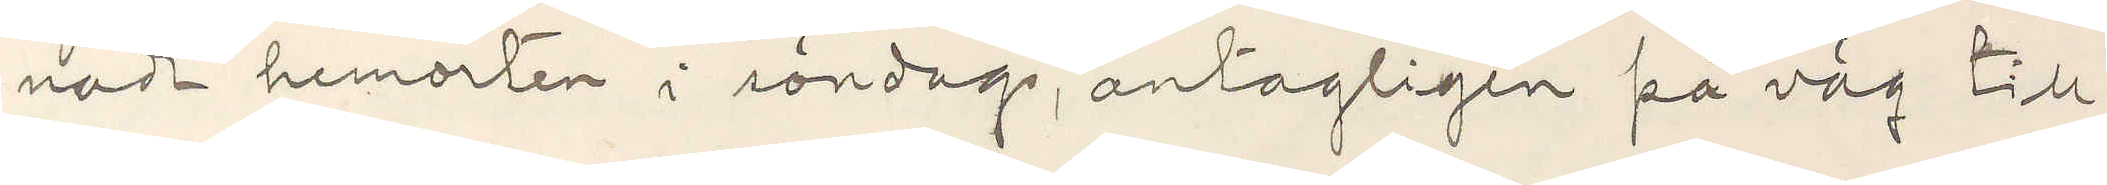nade hemorten i söndags, antagligen på väg till
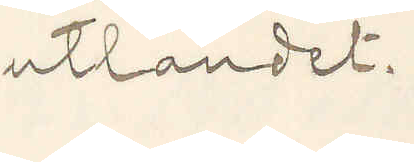utlandet.
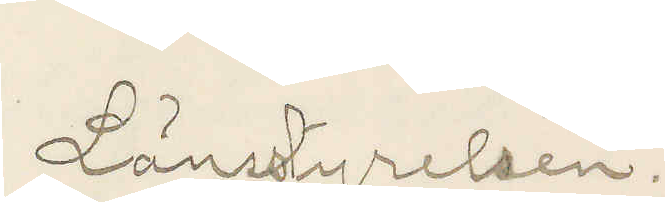Länsstyrelsen.
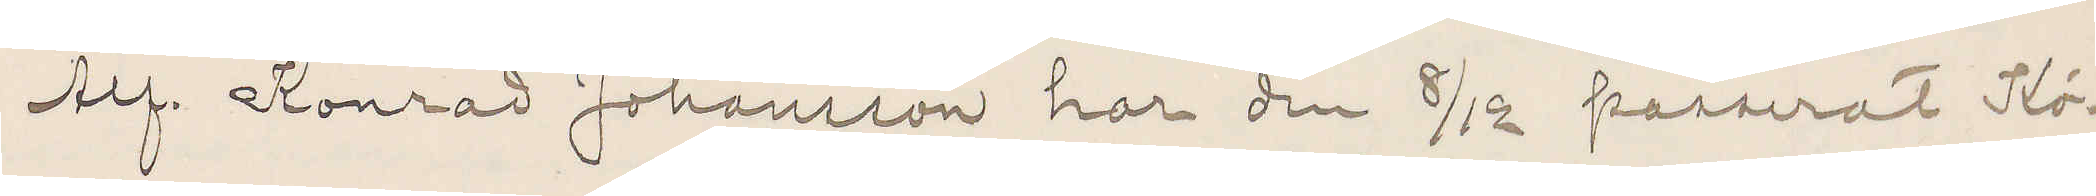Alf. Konrad Johansson har den 8/12 passerat Kö¬
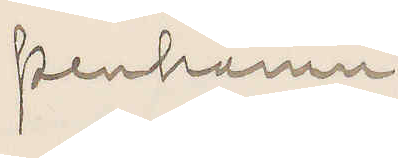penhamn
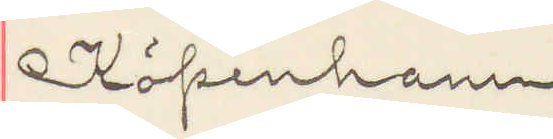Köpenhamn
